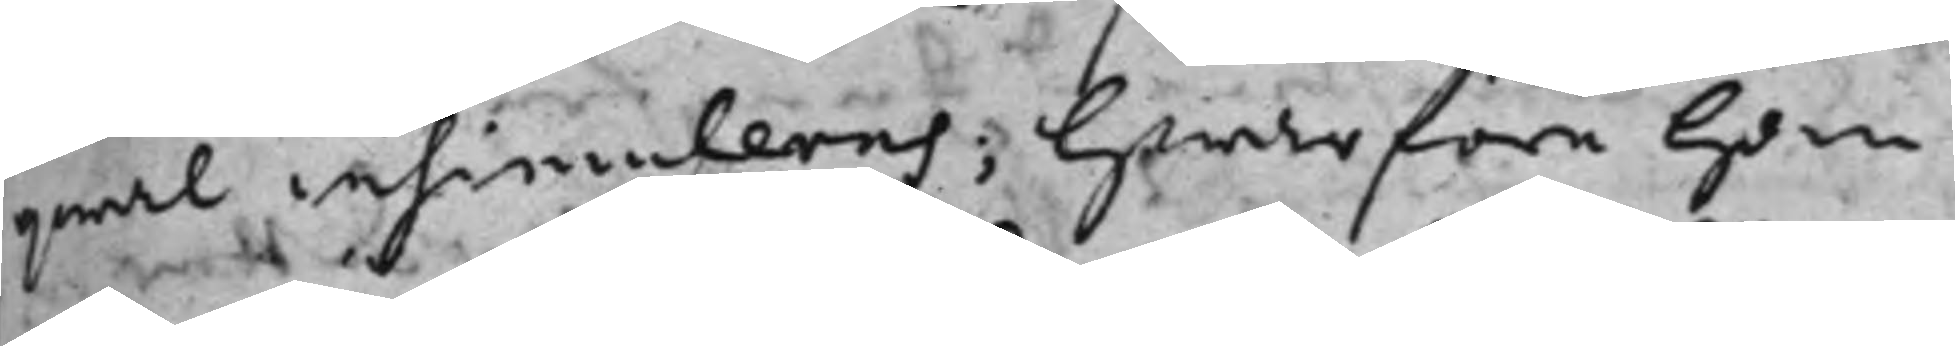qwal insimuleres; Hwarföre han
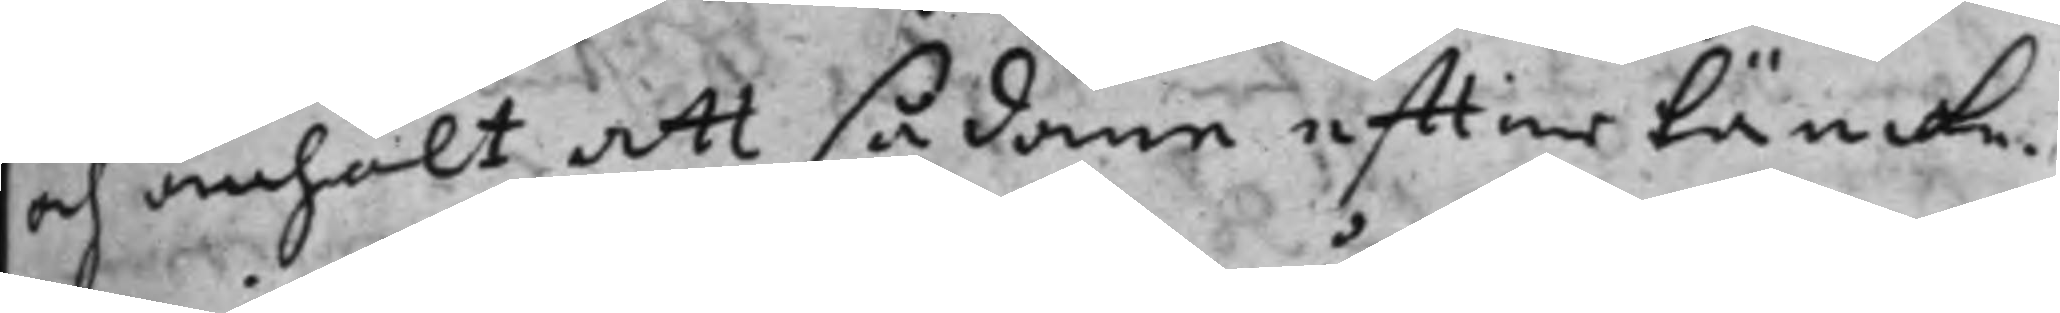och anhölt att sådane efftertänke¬
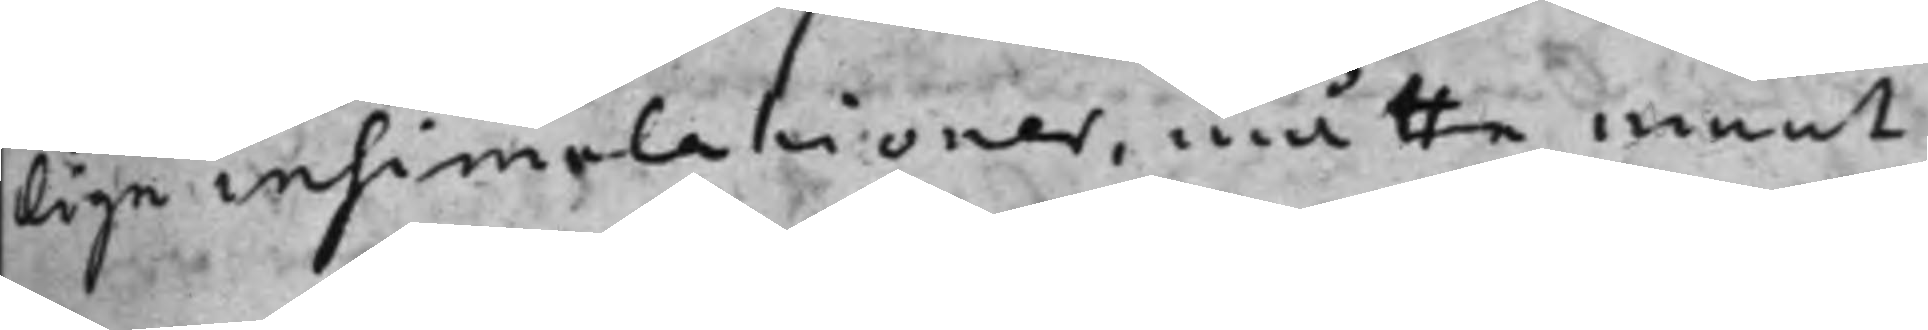lige insimulationer, måtte ment
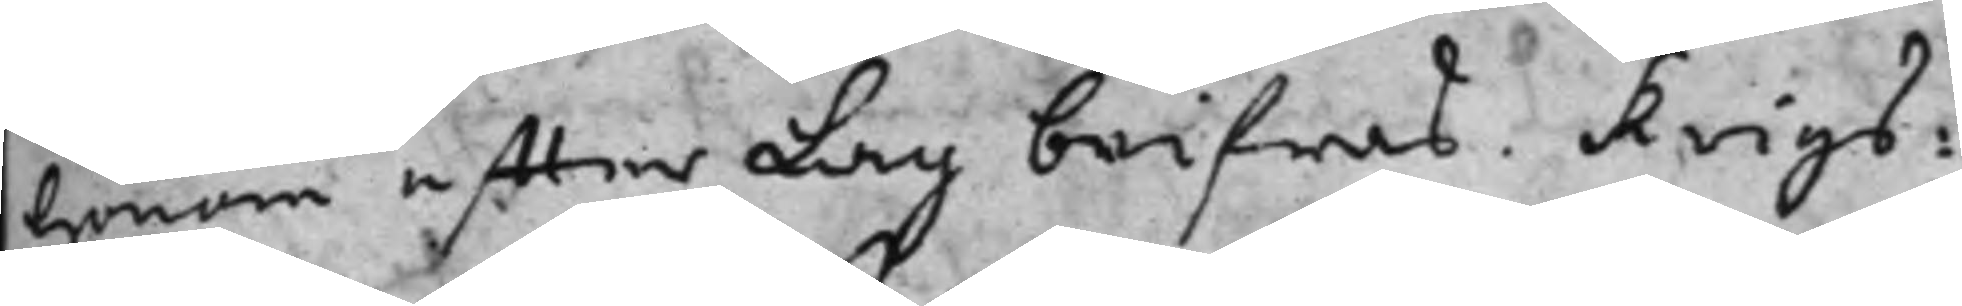honom effter Lag beifras. Krigs¬
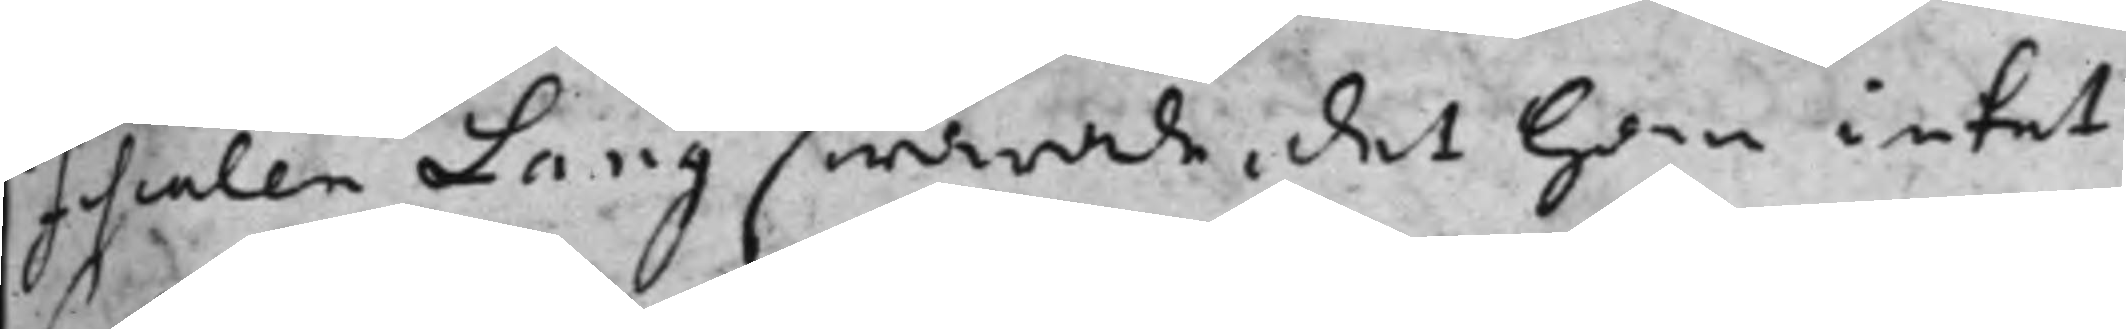Fiscalen Lang swarade, det han intet
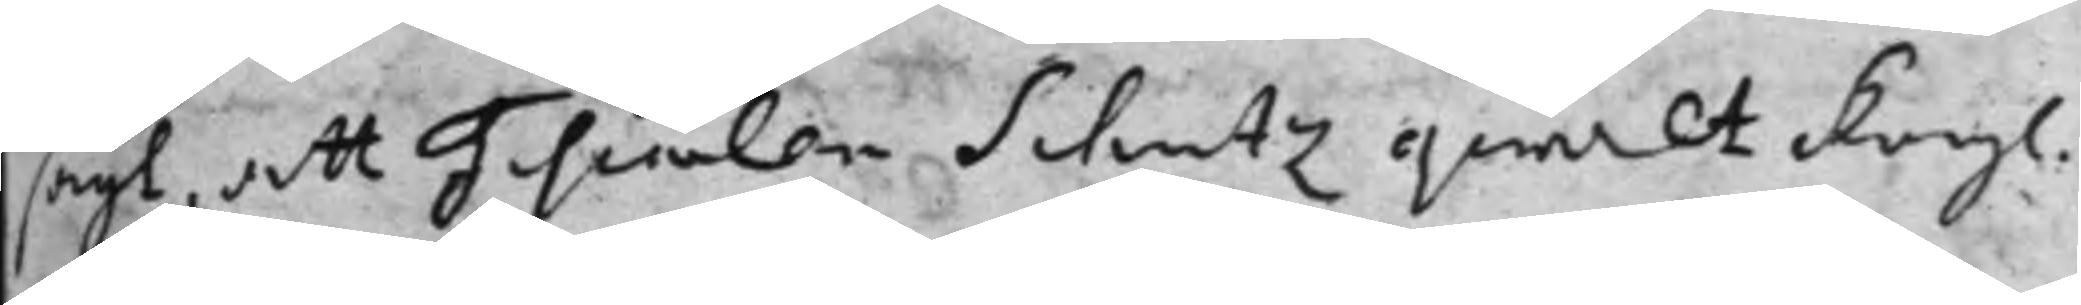sagt, att Fiscalen Schutz qwalt Kongl.
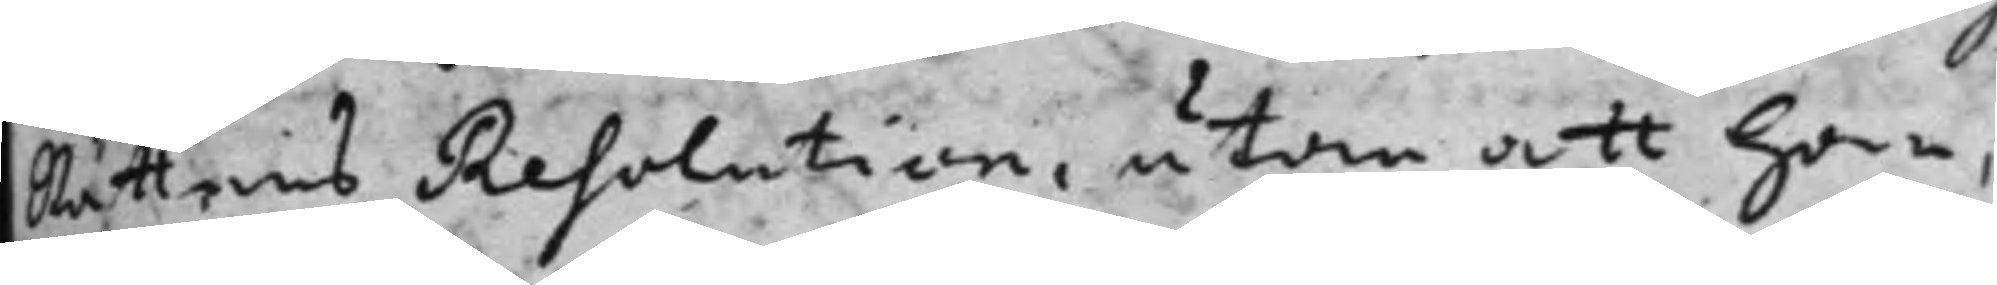Rättens Resolution, utan att han,
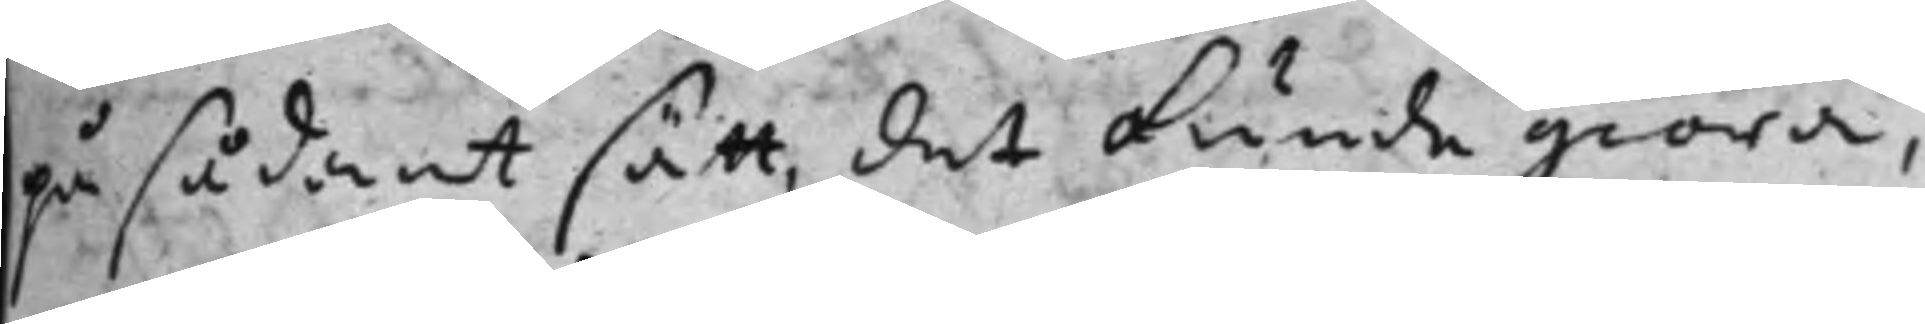på sådant sätt, det kunde giöra,
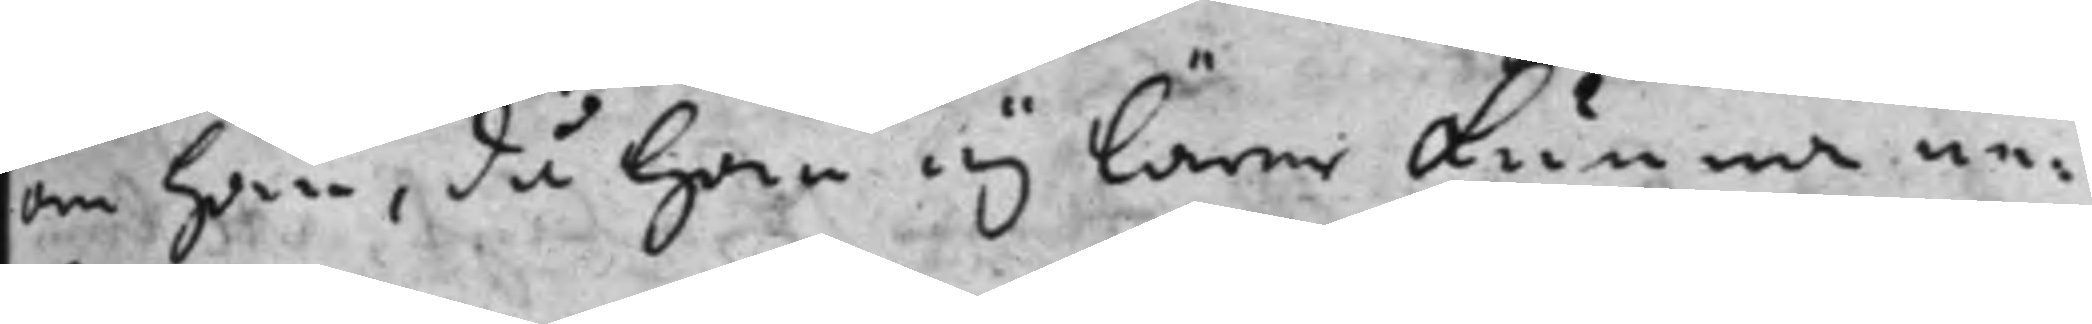om han, då han ej lärer kunna ne¬
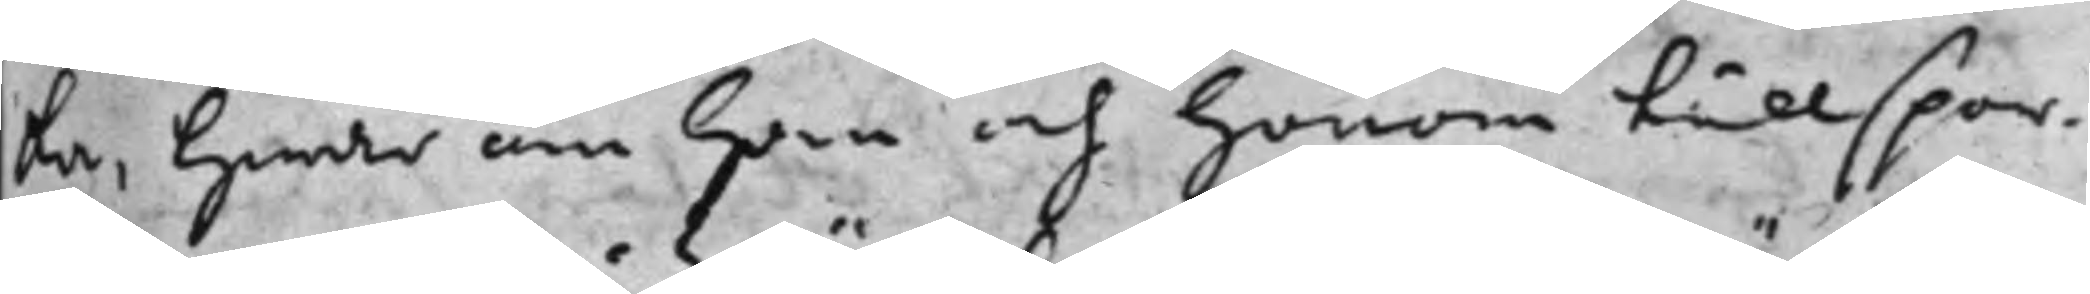ka, hwar om han och honom tillspor¬
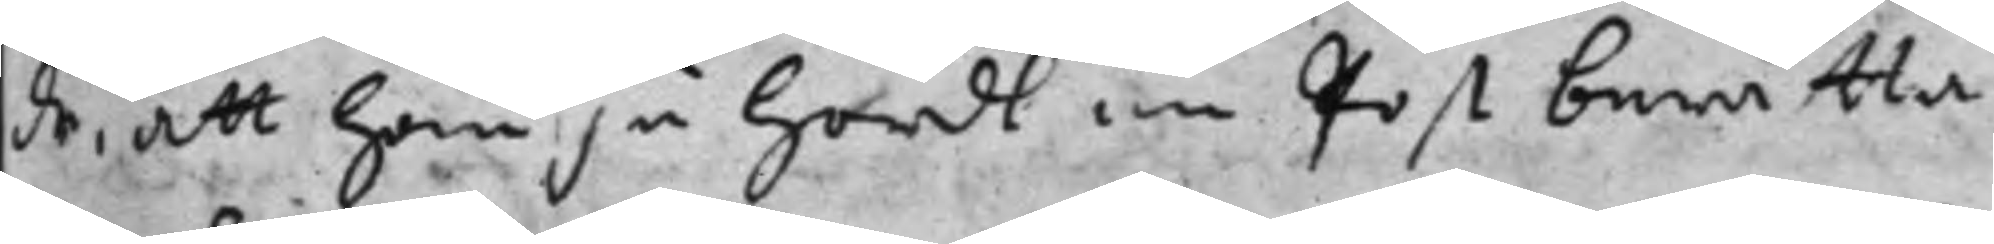de, att han ju hördt en post berätta
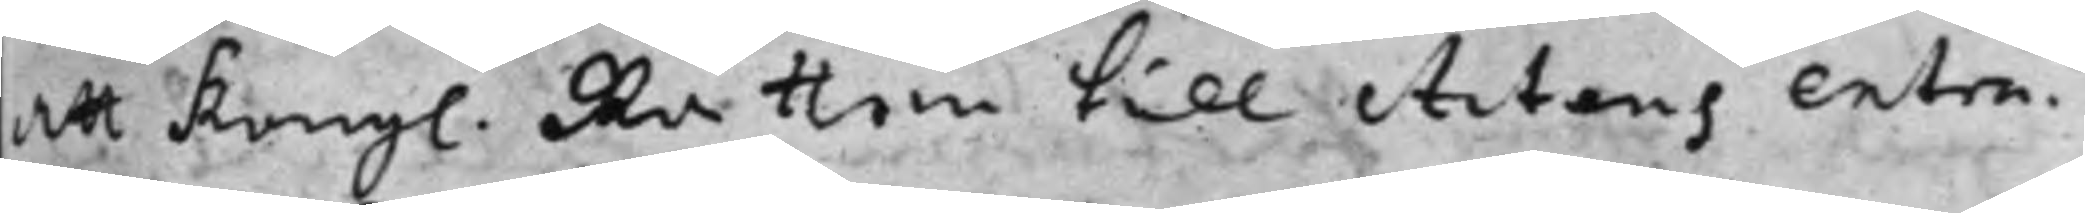att Kongl. Rätten till Actens extra¬
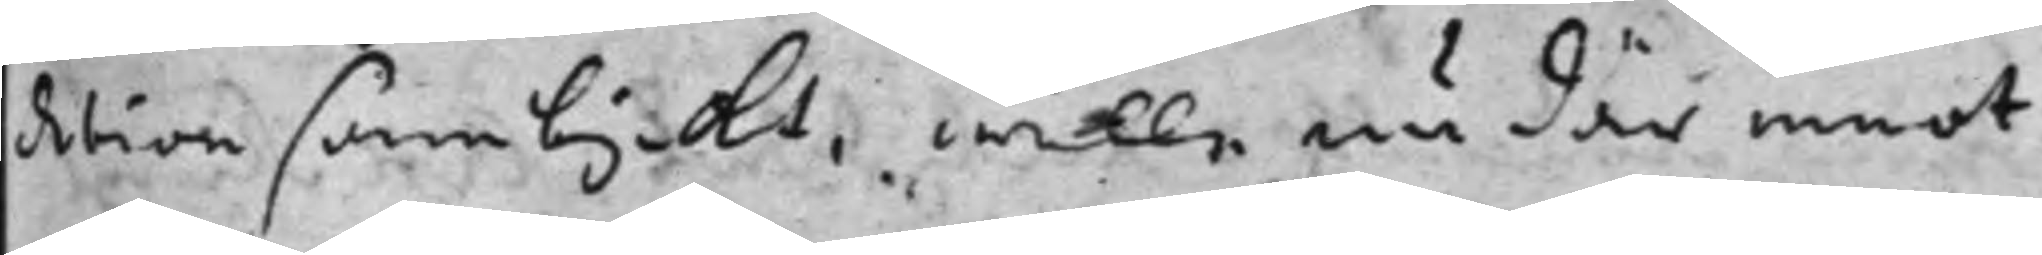detion samtyckt, wille nu där emot
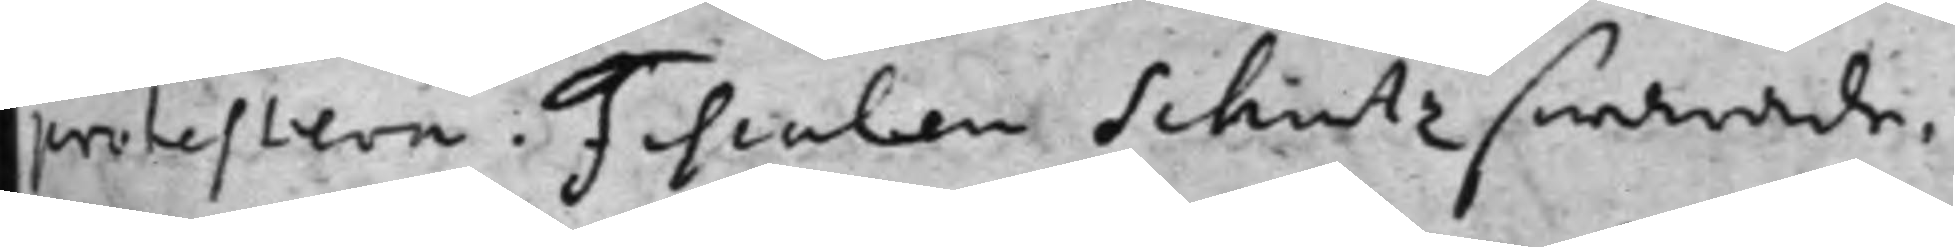protestere. Fiscalen Schutz swarade,
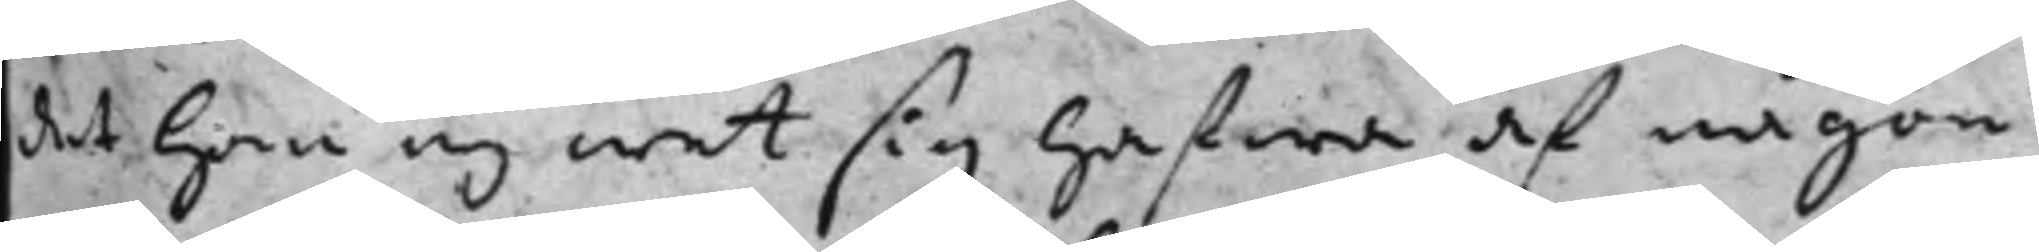det han ej wet sig hafwa af någon
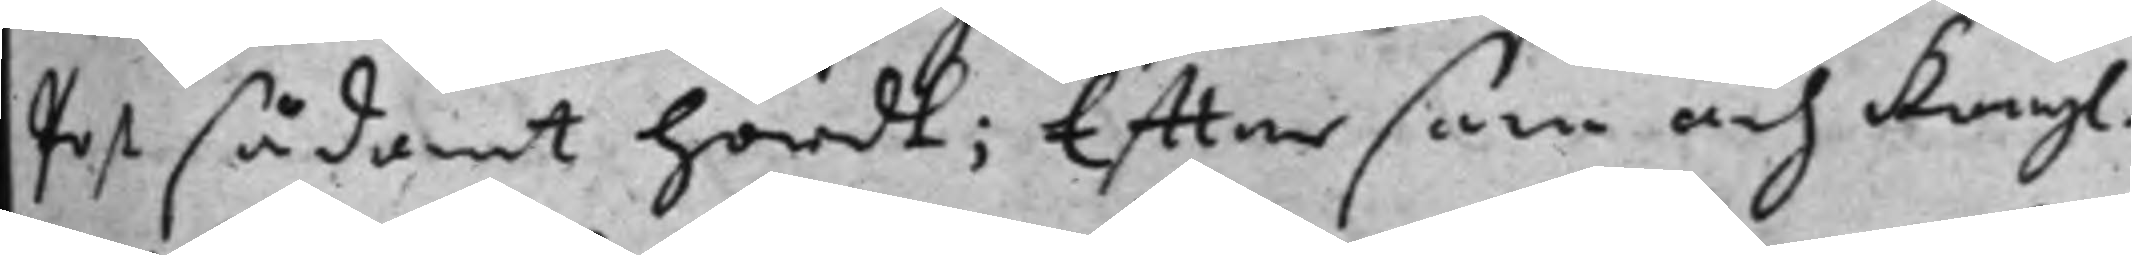post sådant hördt; Efftersom och Kongl.
